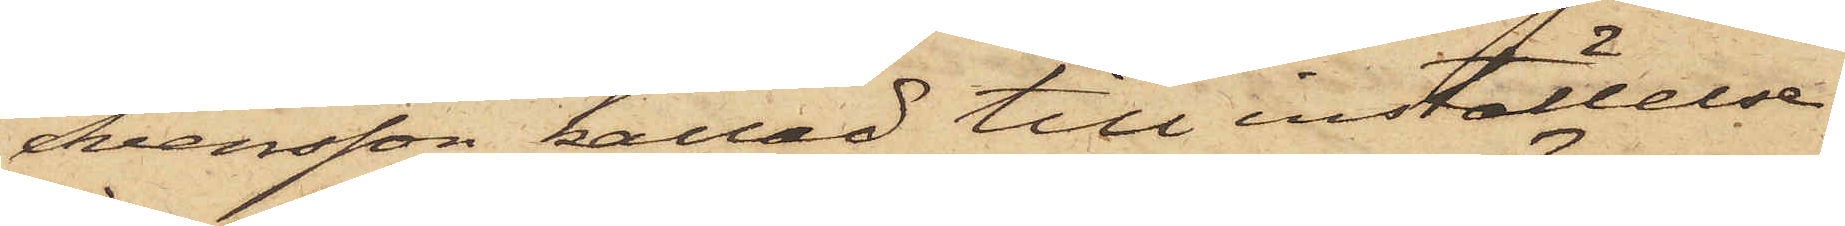Svensson kallad till inställelse
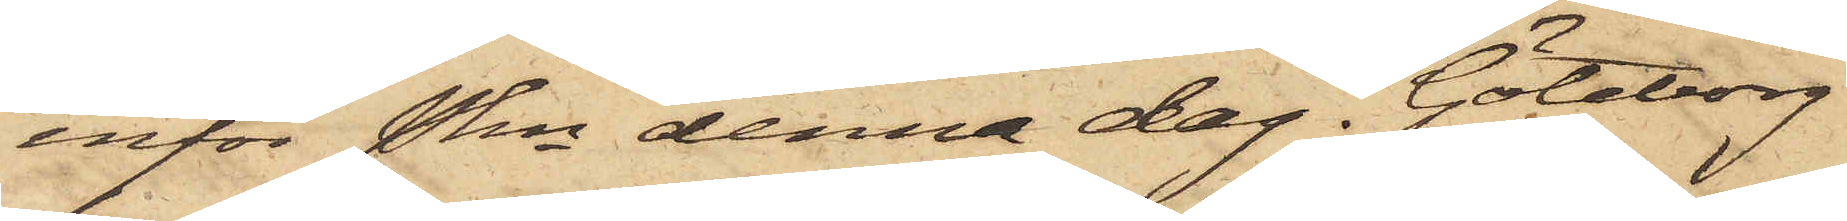inför Pkn denna dag. Göteborg
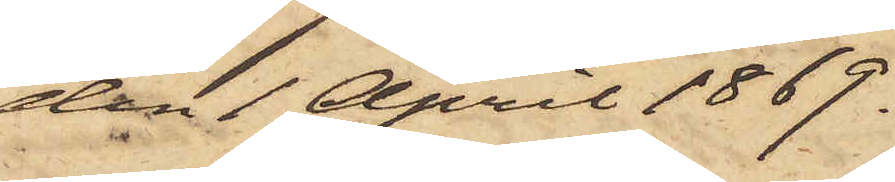den 1 April 1869.
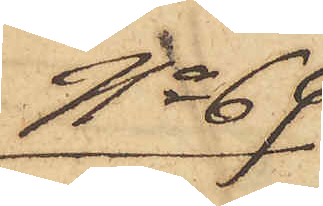No 69
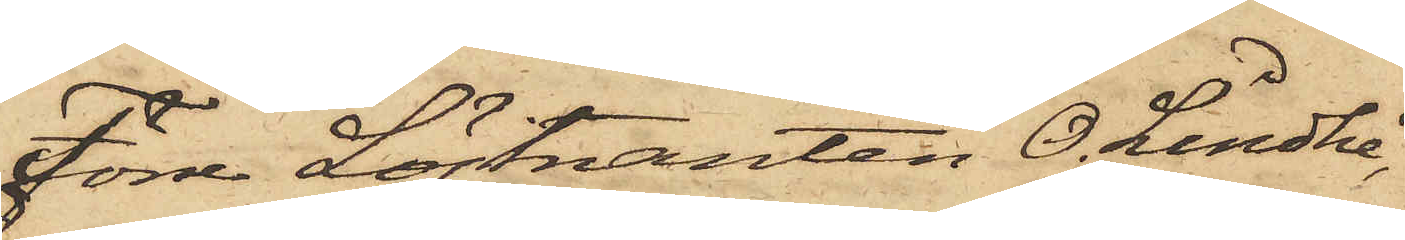Förre Löjtnanten O. Lindhé,
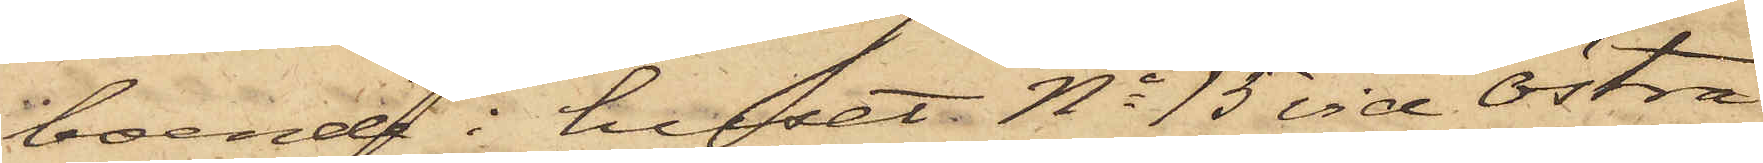boende i huset No 15 vid Östra
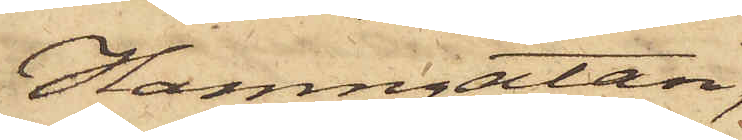Hamngatan,
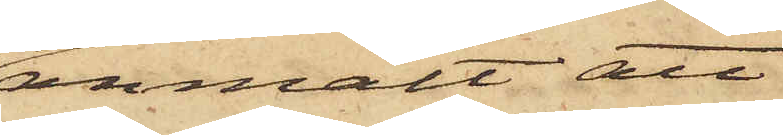anmält att
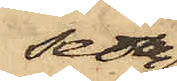sedan
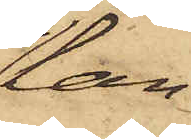han
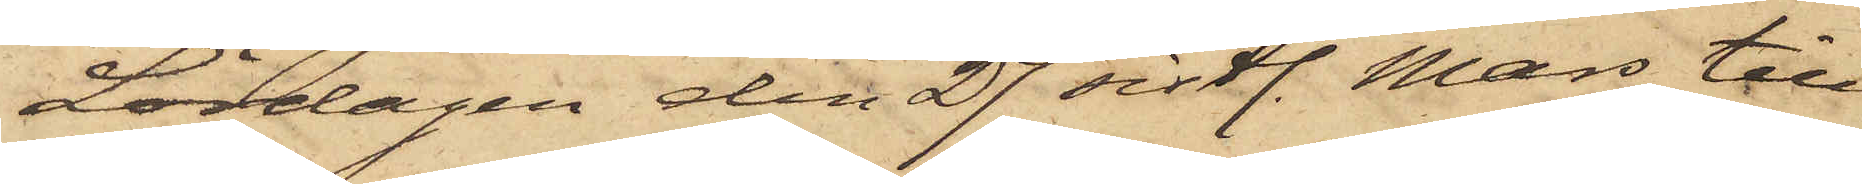Lördagen den 27 sistl. Mars till
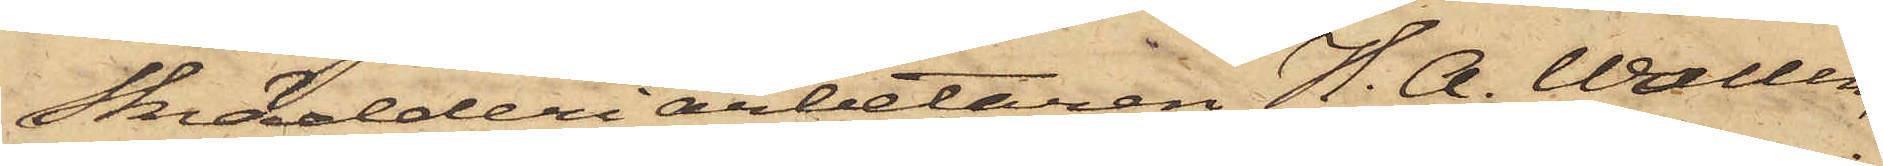Skrädderiarbetaren H. A. Wallin,
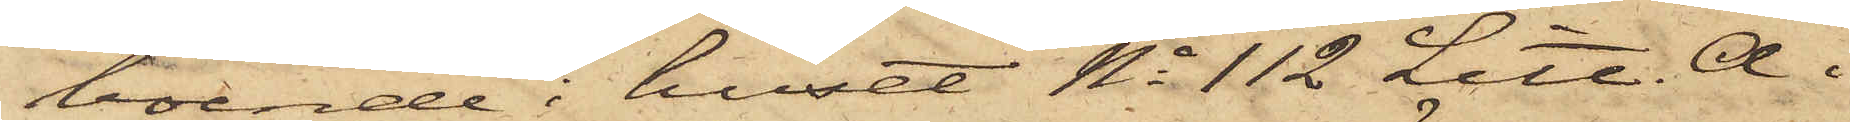boende i huset No 112 Litt. A. i
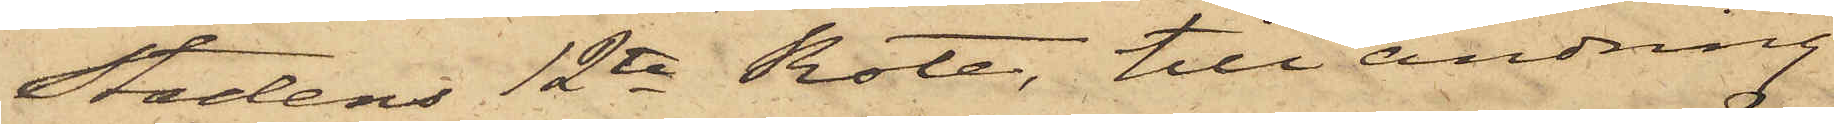Stadens 12te Rote, till ändring
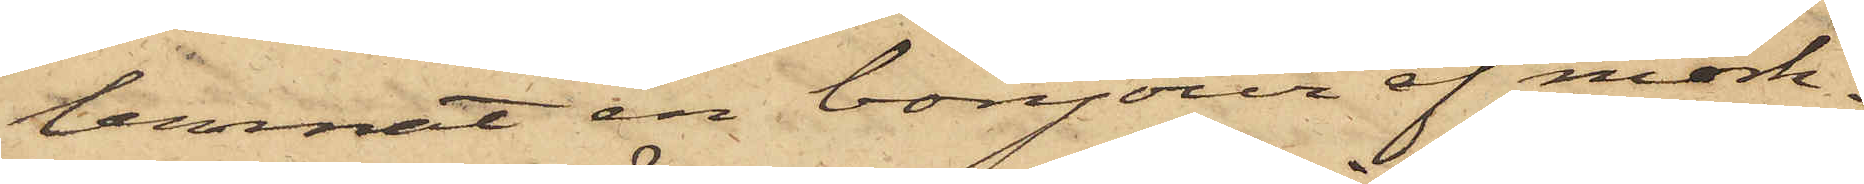lemnat en bonjour af mörk¬
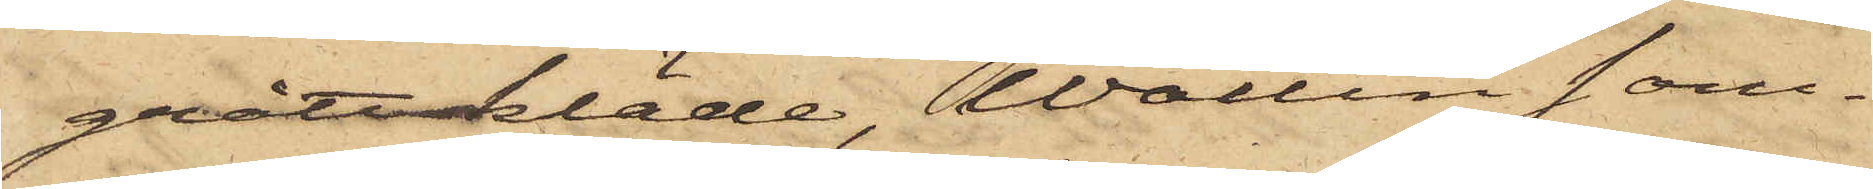grått kläde, Wallin sam¬
